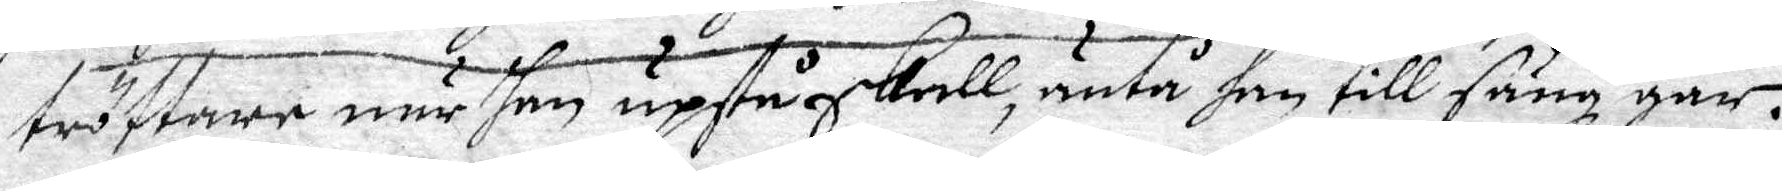tröttare när han upstå skall, äntå han till säng går.
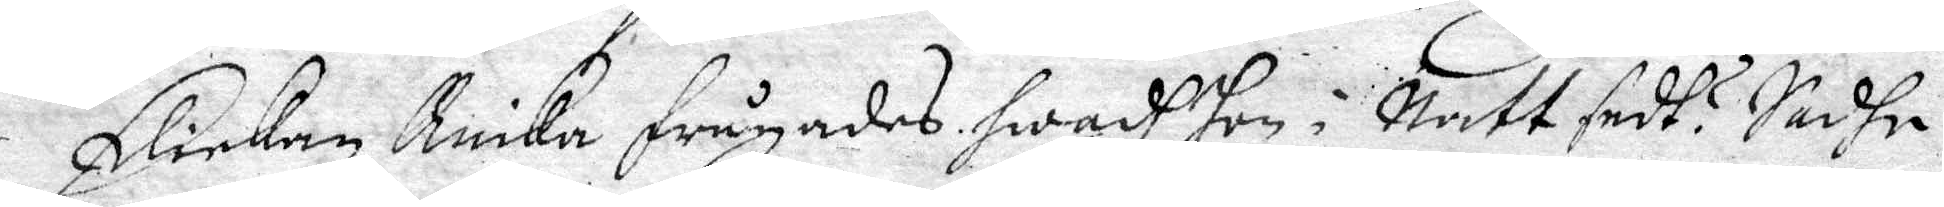Flickan Ruika frågades hwadh hon i Natt sedt? Sadhe
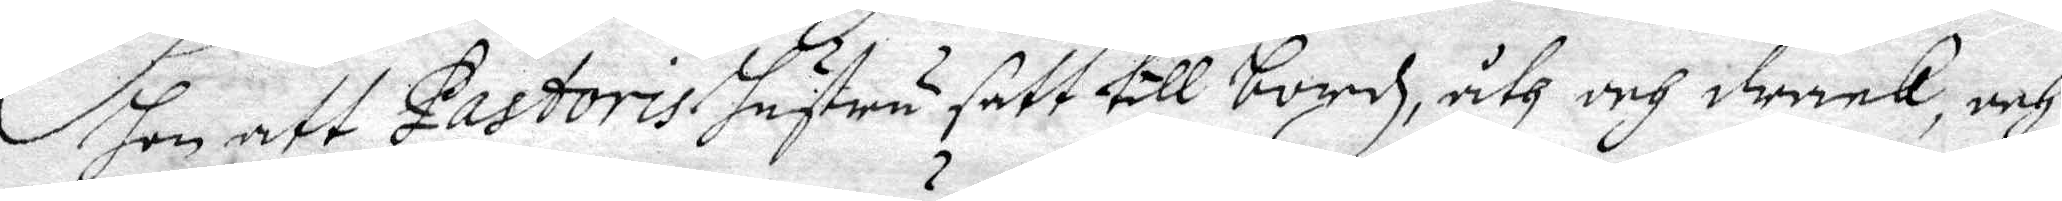hon att Pastoris hustru satt till bords, åth och drack, och
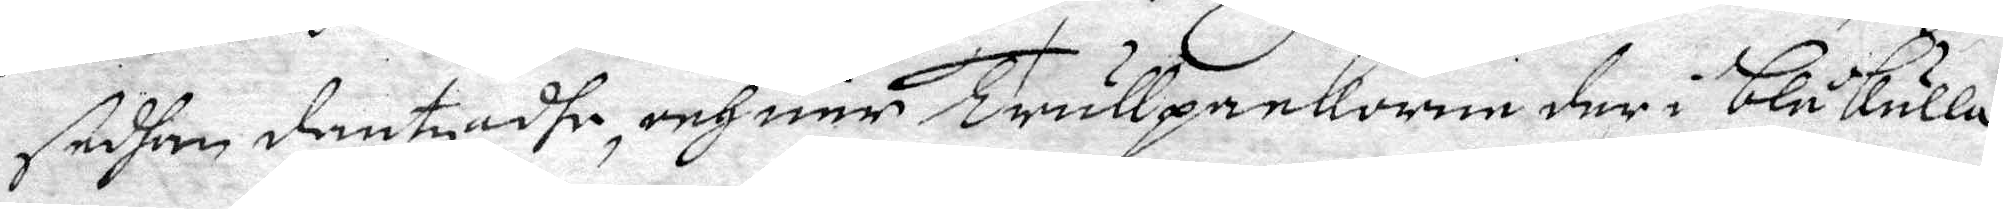sedhan dantzadhe, och när Trullpackorne der i blåkulla
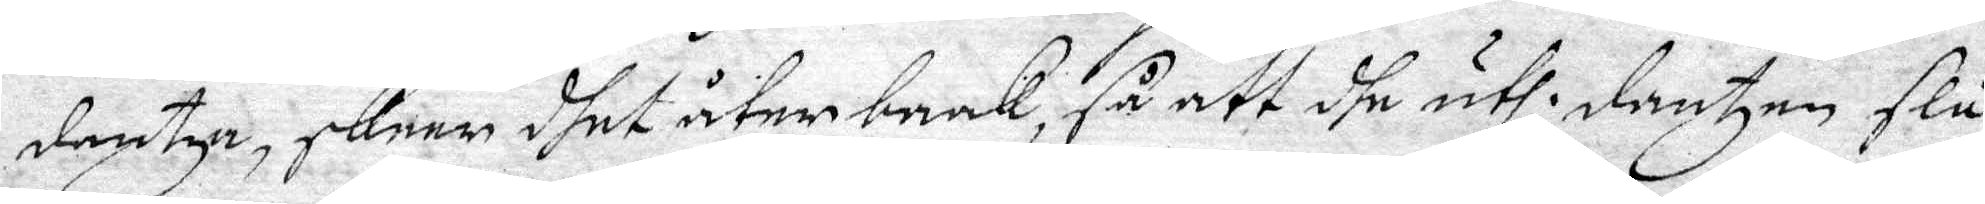dantza, skeer dhet åter brak, så att dhe uthl. dantzen slå
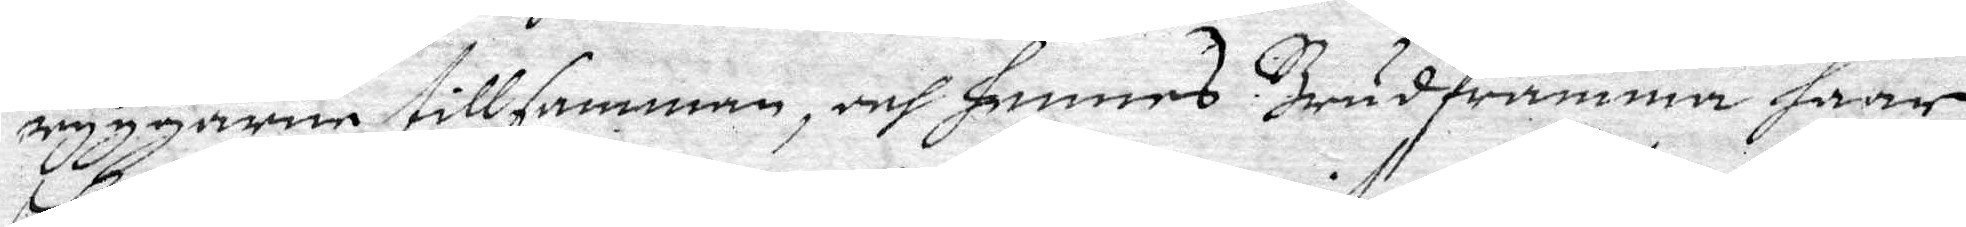ryggarne tillsamman, och hennes Brudframma haar
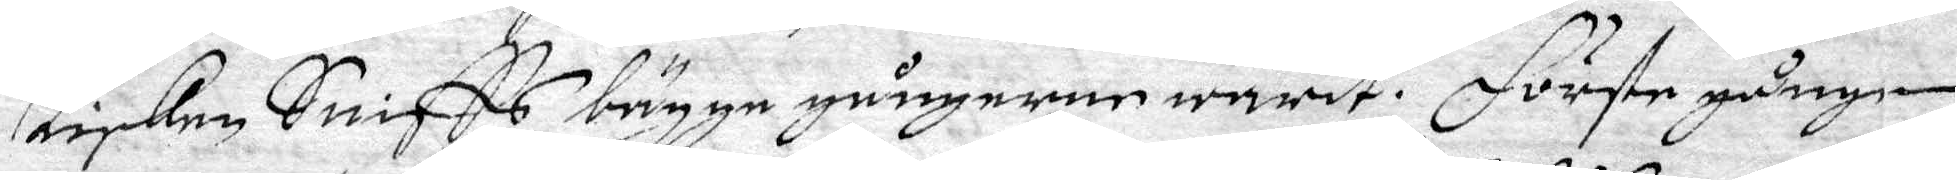Lisken Sniffs bgge gångerne warit. Första gången
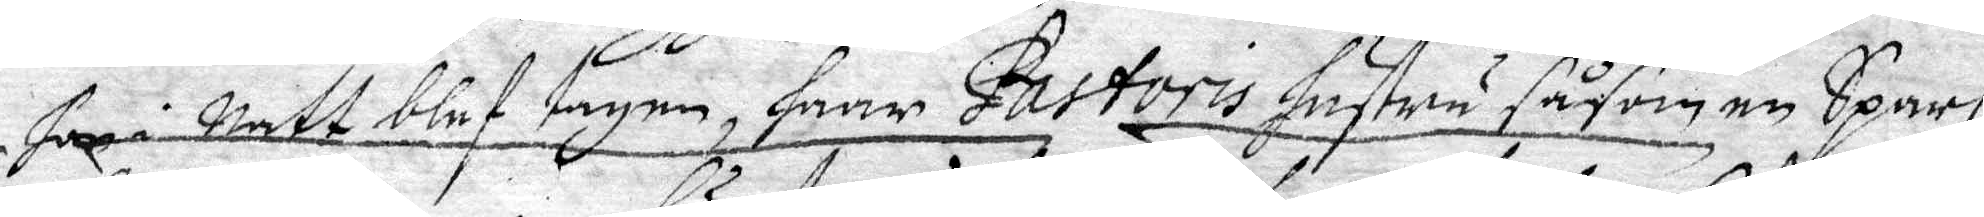... i natt blef tagen, haar Pastoris hustru såsom en Sparf
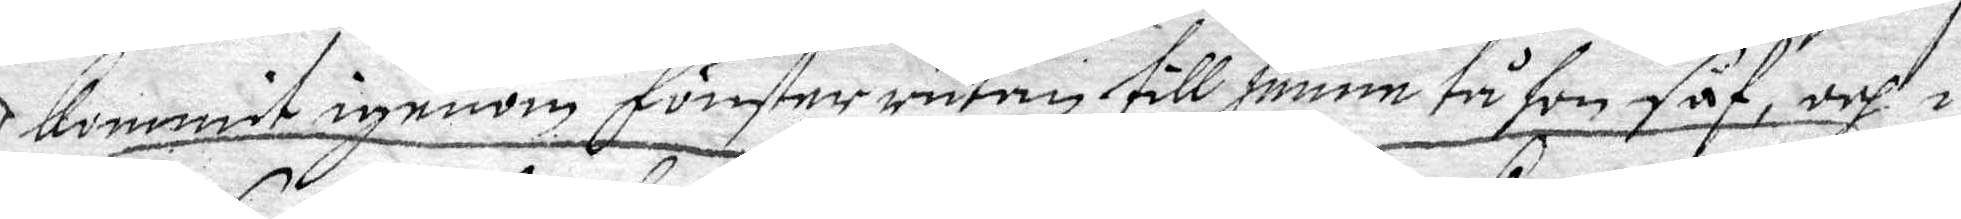Kommit igenom fönster rutan till henne tå hon såf, och i
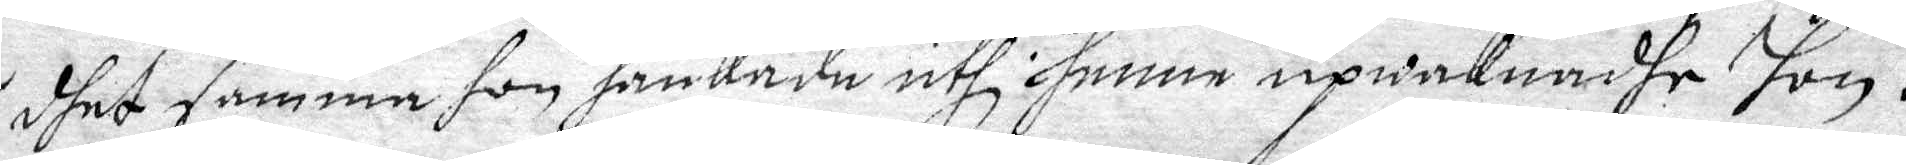dhet samma hon hankade uthi henne upwaknadhe hon.
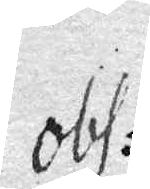Obs:
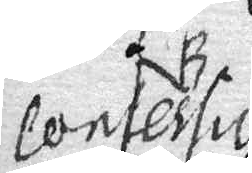Consertur
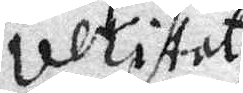ultistati
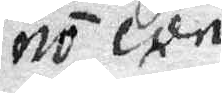no con
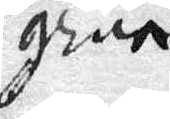gren.
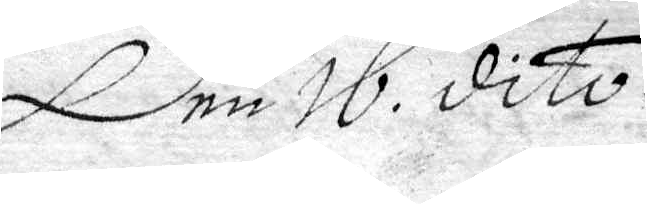Den 16. dito.
